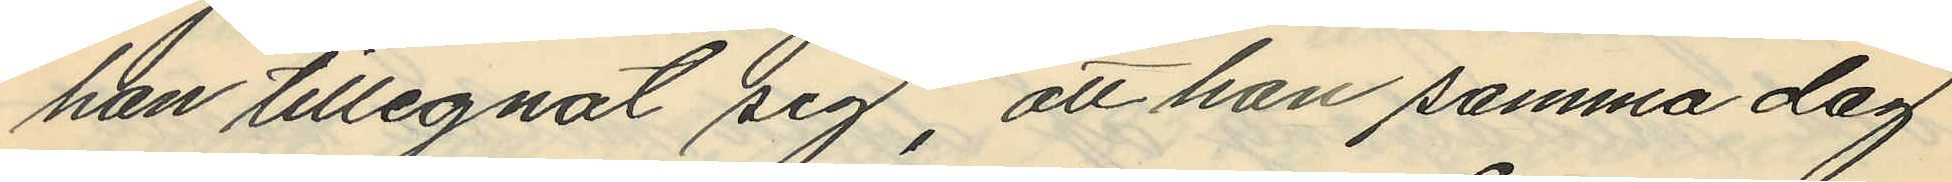han tillegnat sig, att han samma dag
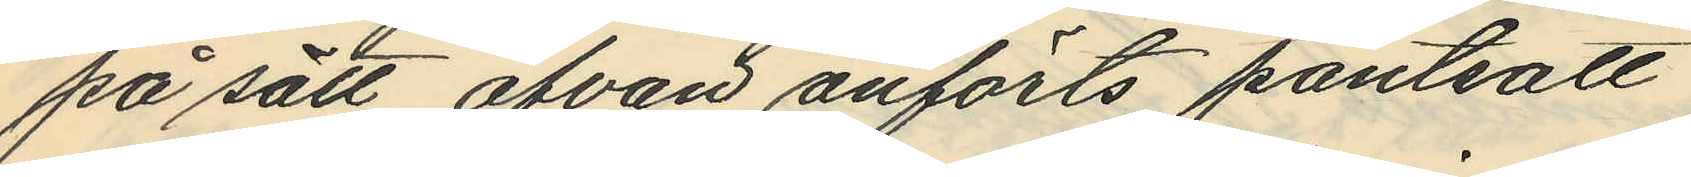på sätt ofvan anförts pantsatt
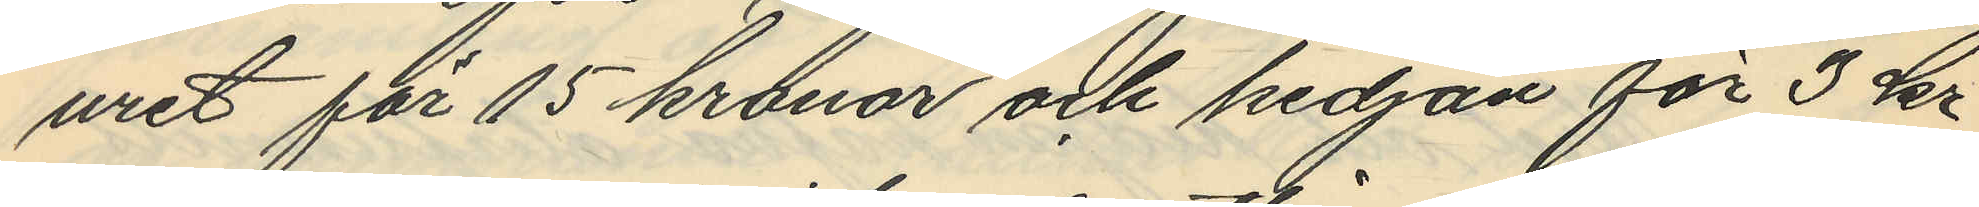uret för 15 kronor och kedjan för 3 kr
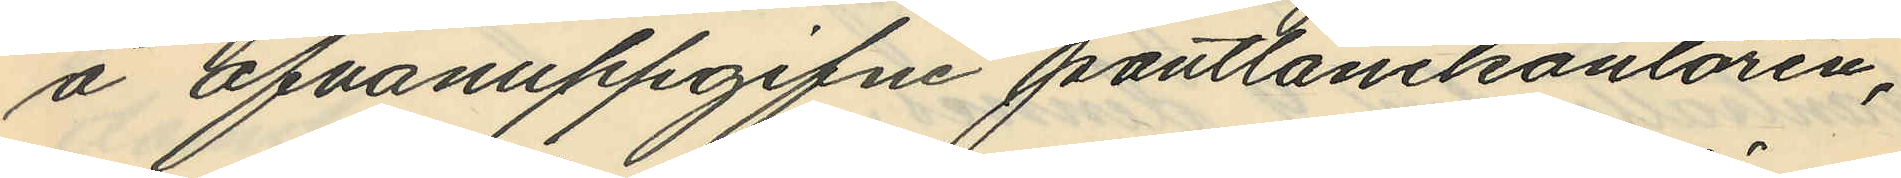å ofvanuppgifne pantlånekontoren,
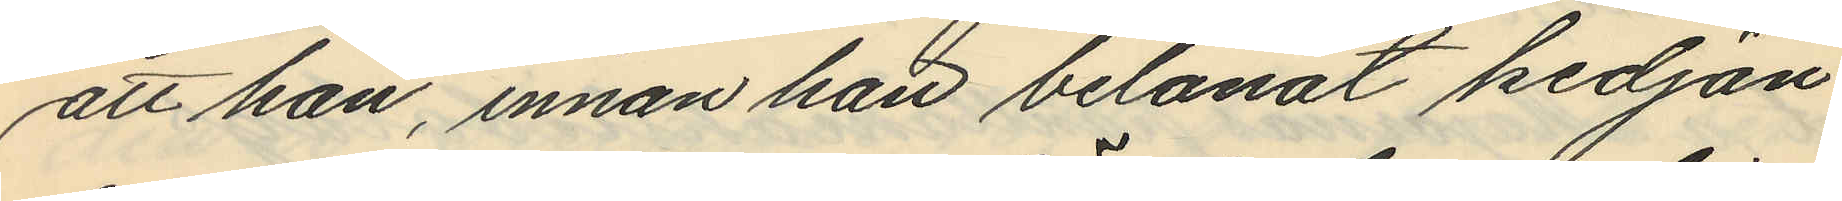att han, innan han belånat kedjan
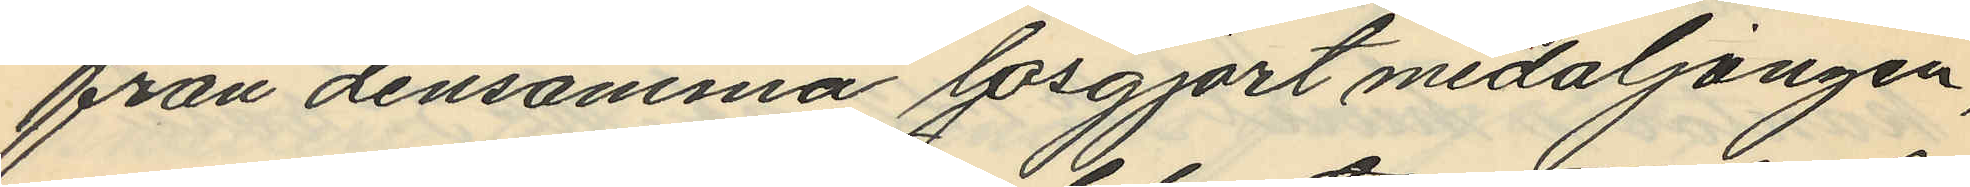från densamma lösgjort medaljongen,
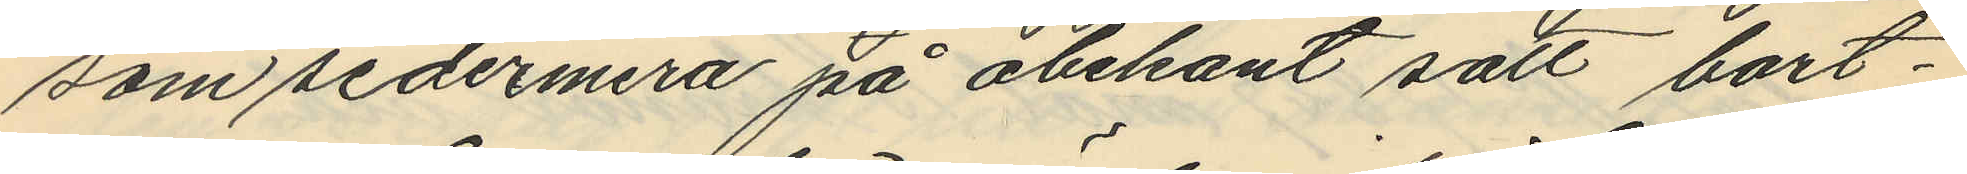som sedermera på obekant satt bort¬
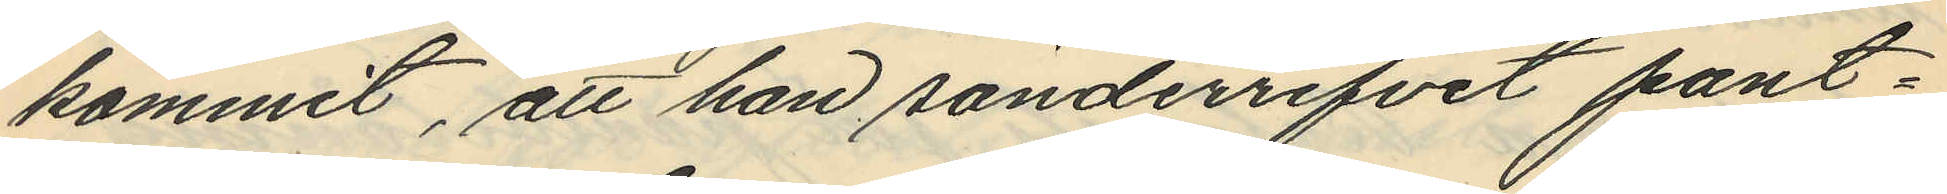kommit, att han sönderrifvit pant¬
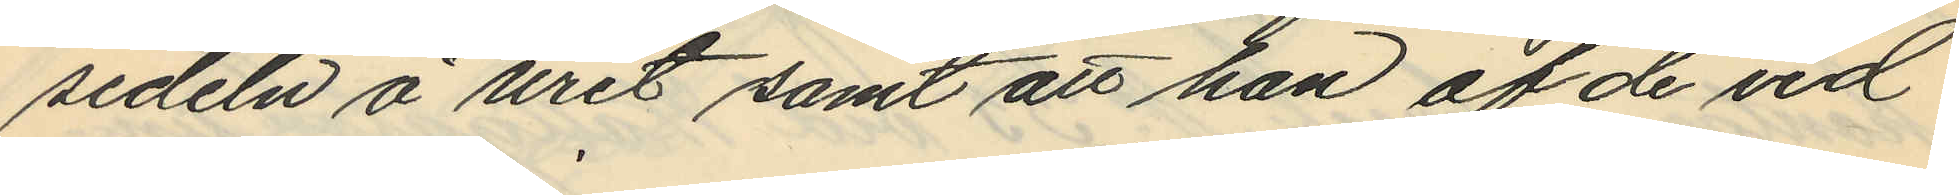sedeln å uret samt att han af de vid
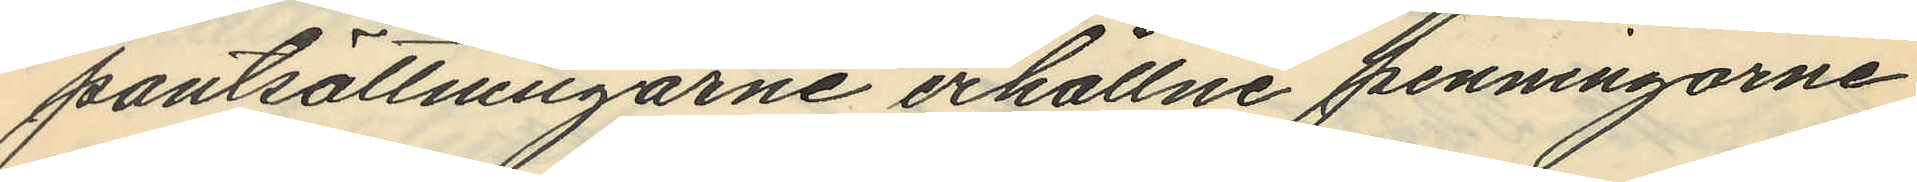pantsättningarne erhållne penningarne
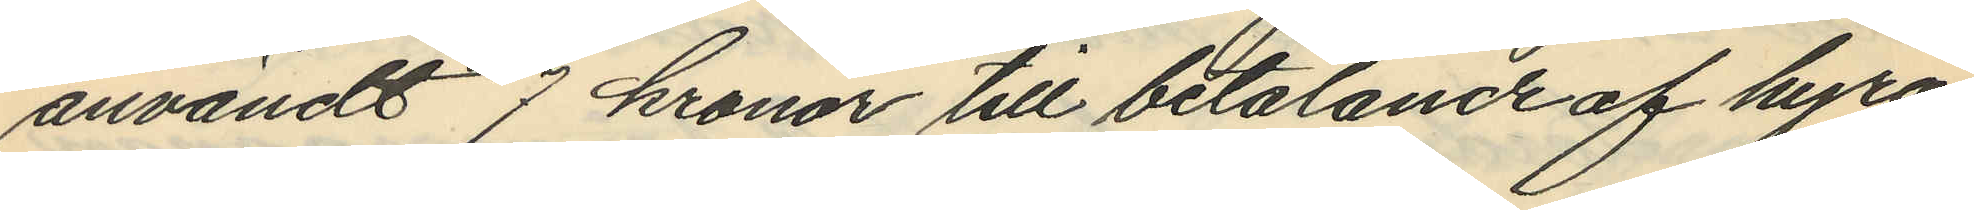användt 7 kronor till betalande af hyra
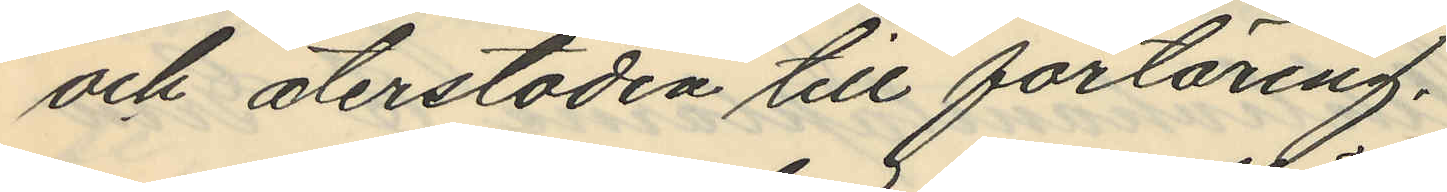och återstoden till förtäring.
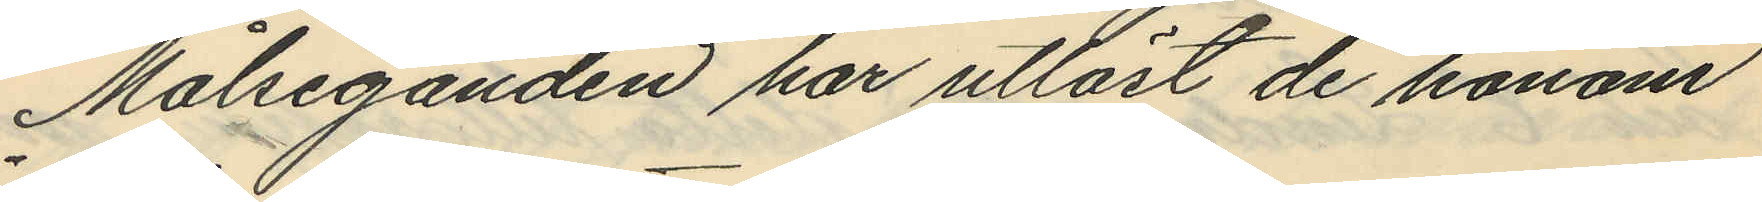Målseganden har utlöst de honom
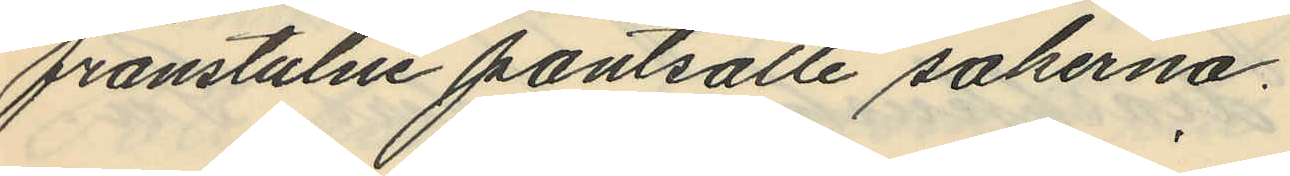frånstulne pantsatte sakerna.
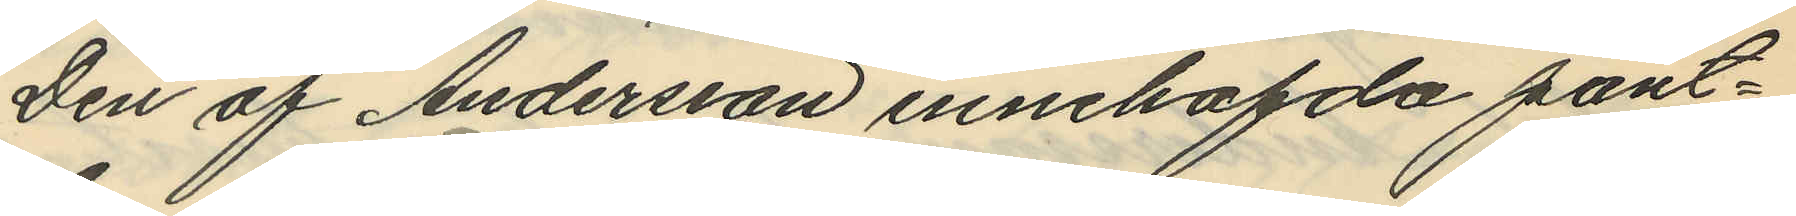Den af Andersson innehafde pant¬
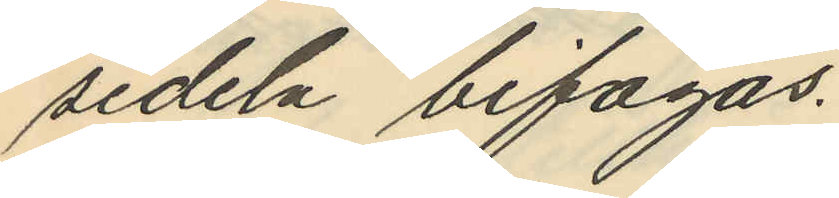sedeln bifogas.
